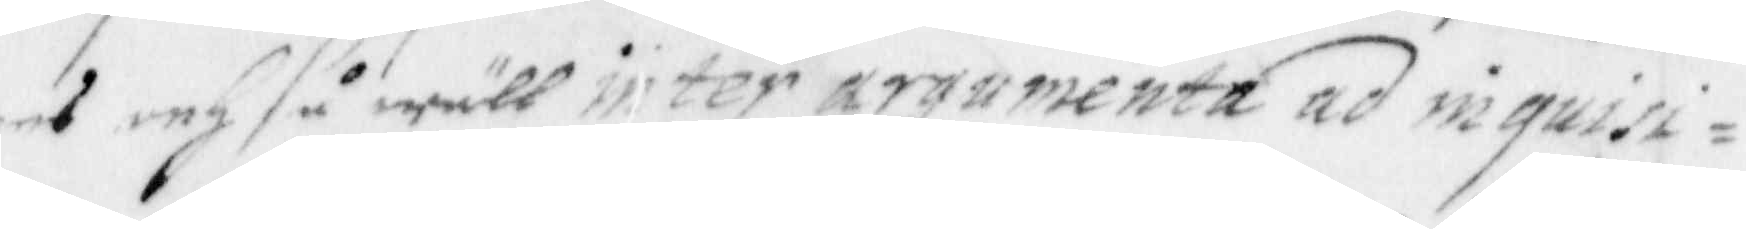ees och så wäll inter argumenta ad inquisi¬
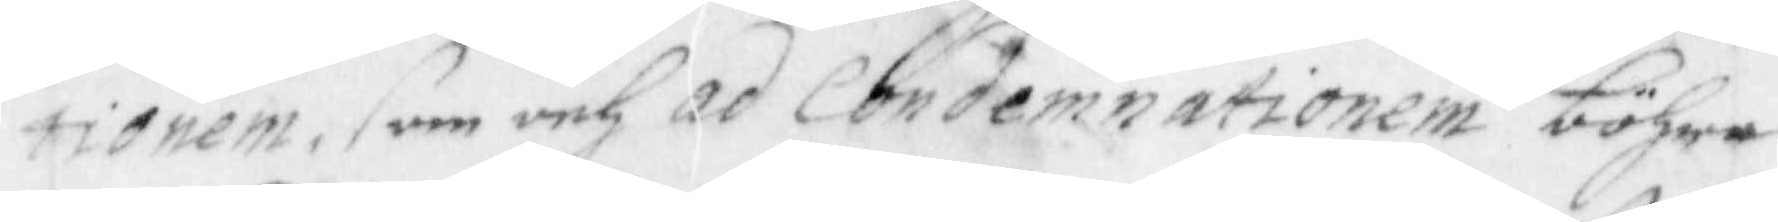tionem, som och ad condemnationen böhra
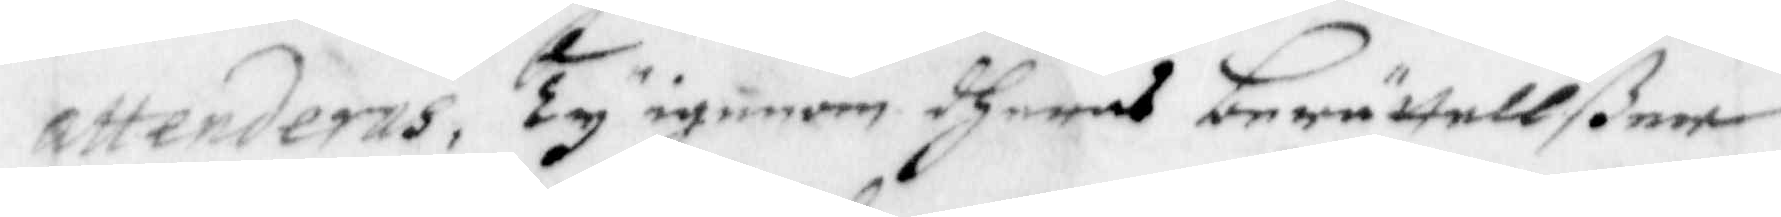attenderas, Ty igenom dheras berättellßer
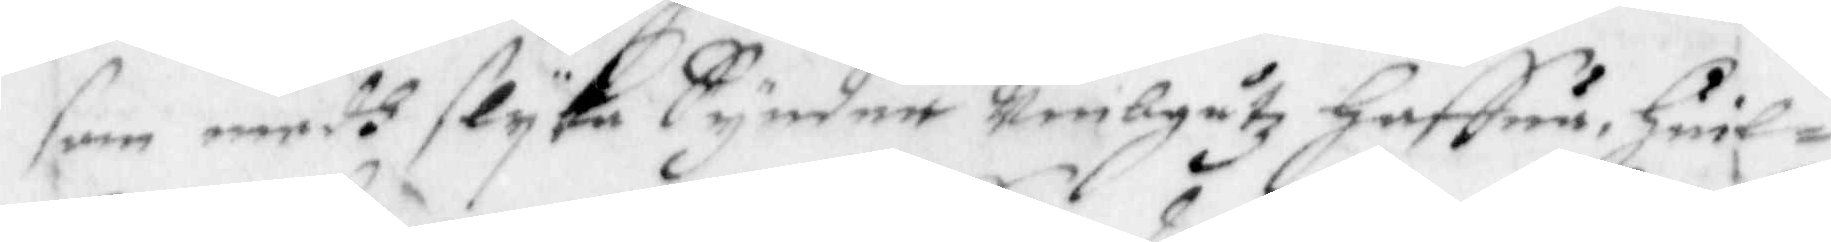som medh slyka Synder Umbgåtz haffua huil¬
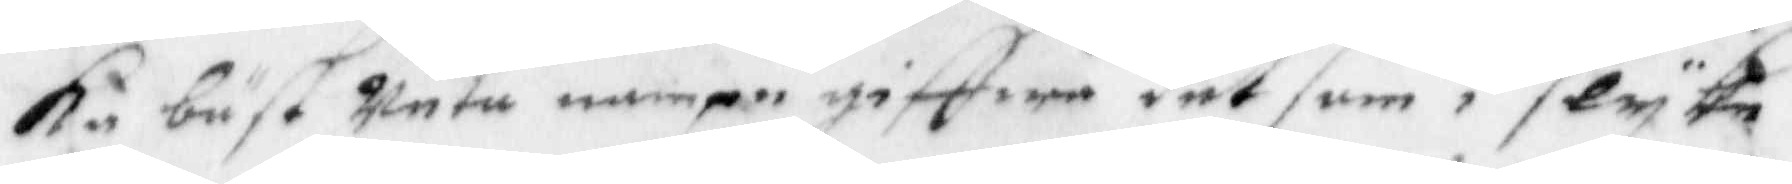ka bäst weta nampn giffwa det som i slyke
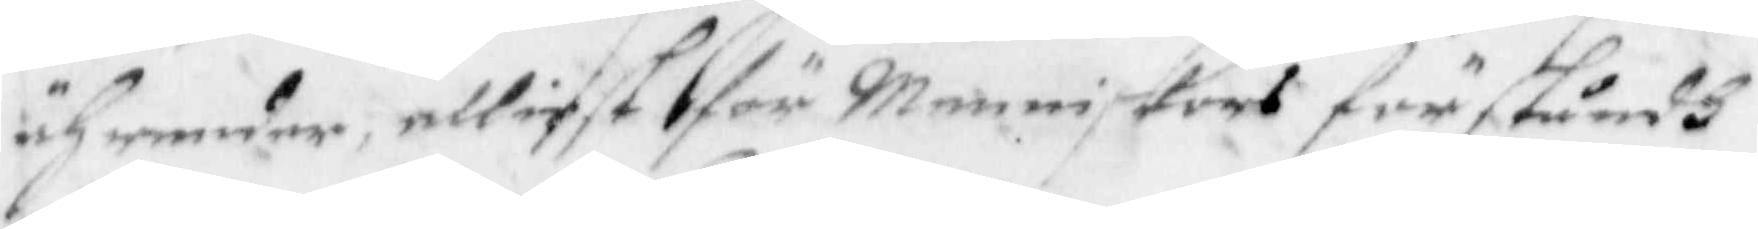ährender elliest för menniskors förståndh
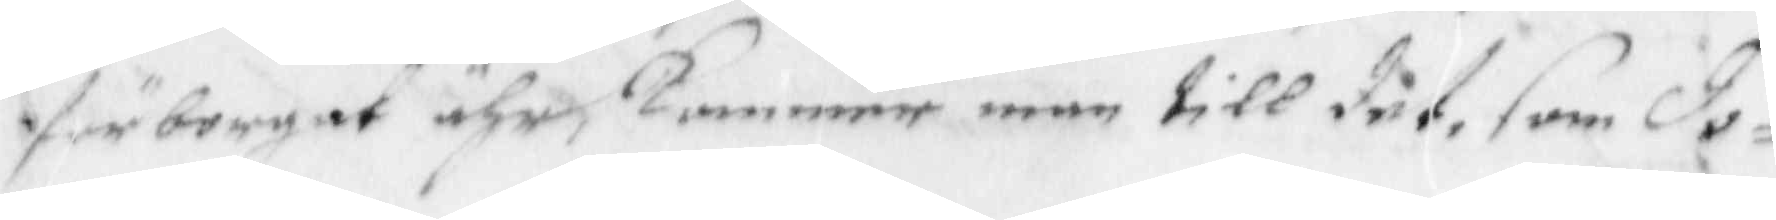förborgat ähr, Kommer man till det, som do¬
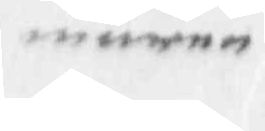maren
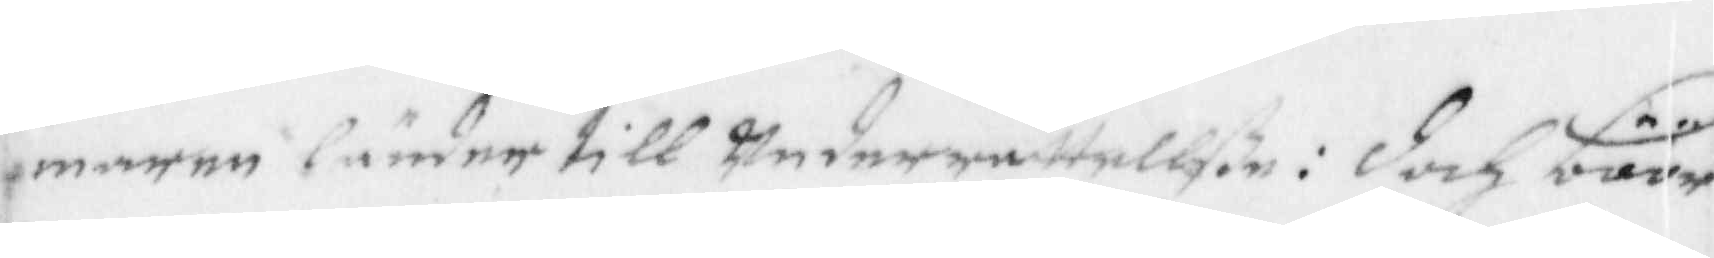maren länder till Underrättellße: doch böör
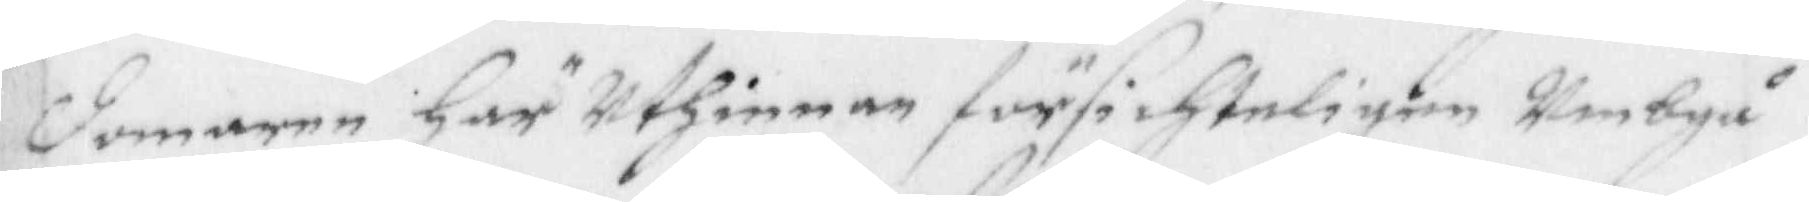domaren häruthinnan försichteligen umbgå¬
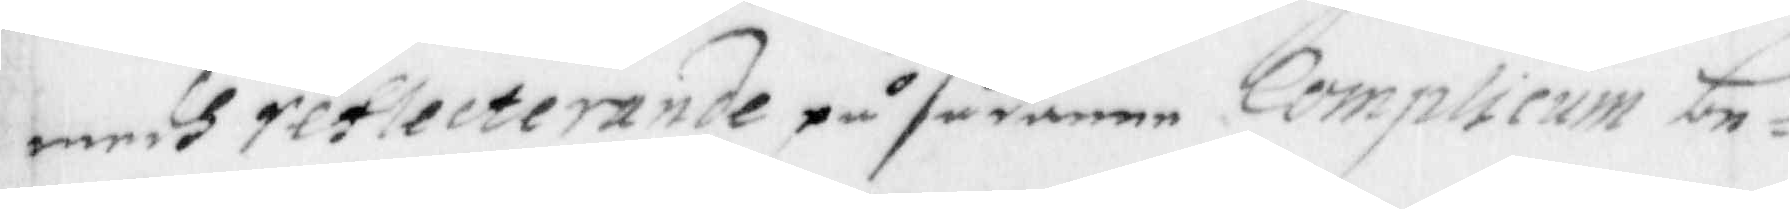endh reflecterande på sådanee complicum be¬
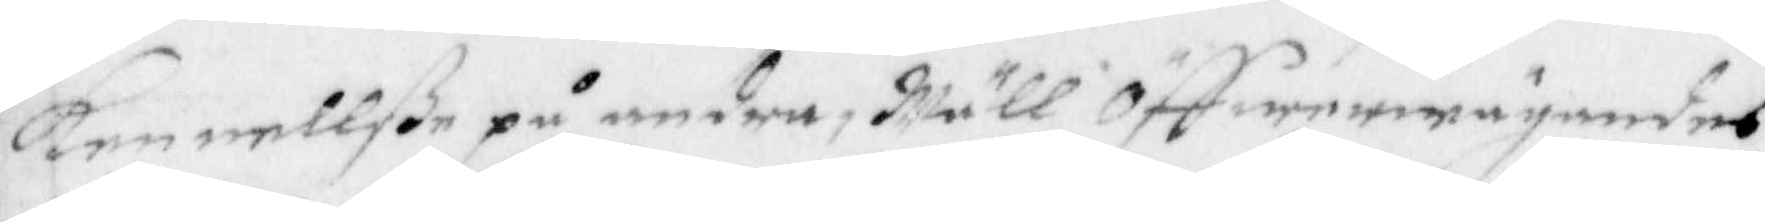kennellße på andra, Wäll Öffwerwägandes
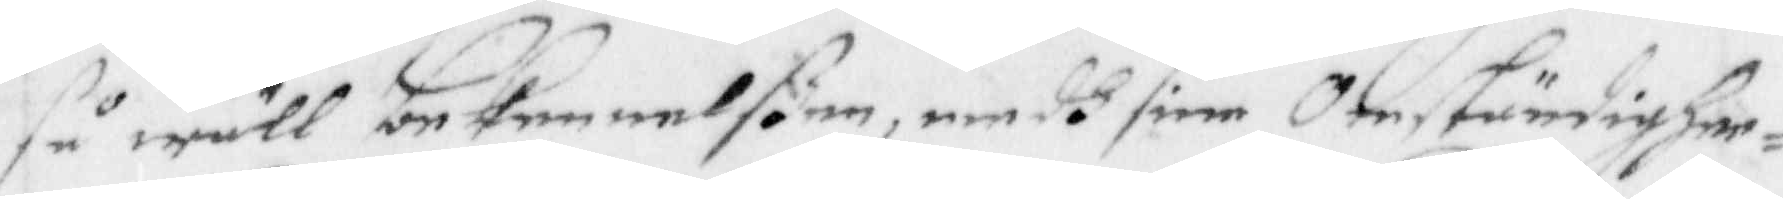så wäll bebennelßen, medh sine omständighee¬
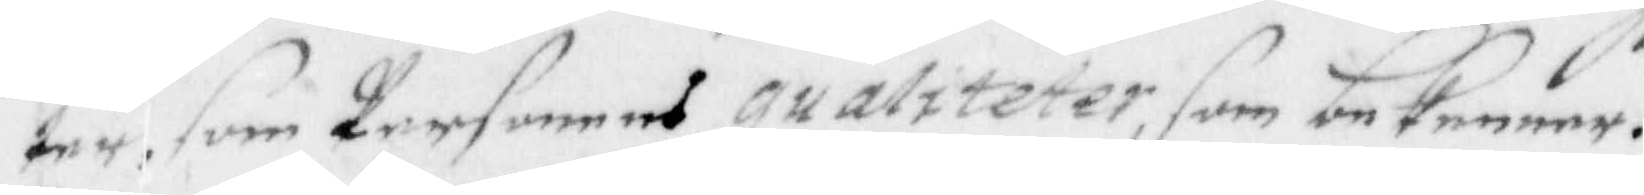ter, som personens qualiteter, som bekenner.
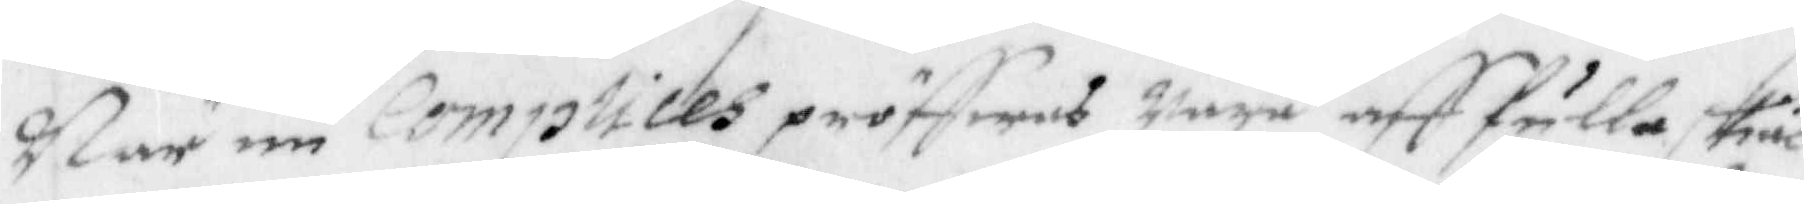När nu complices pröffwas wara aff fulla skiäl
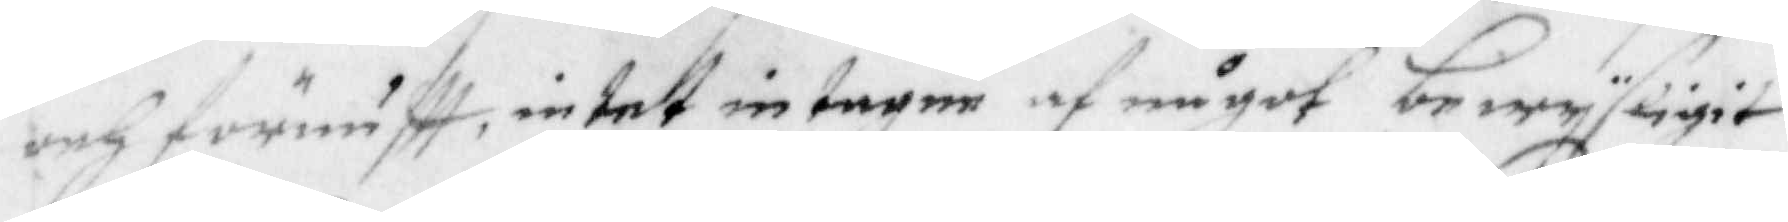och förnuftt, intet intagen af något bewysligit
